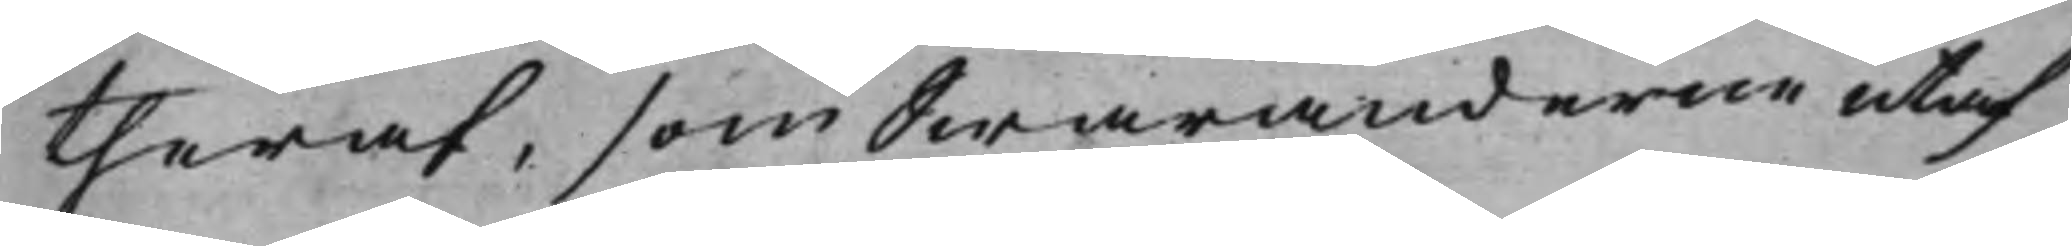theraf, som Swaranderne utaf
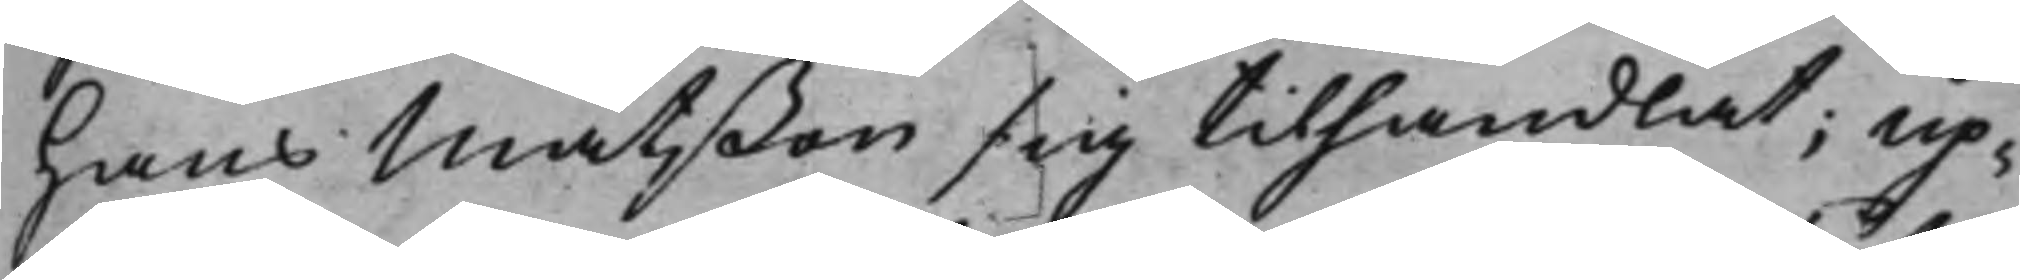Hans Matßon sig tilhandlat; Up¬
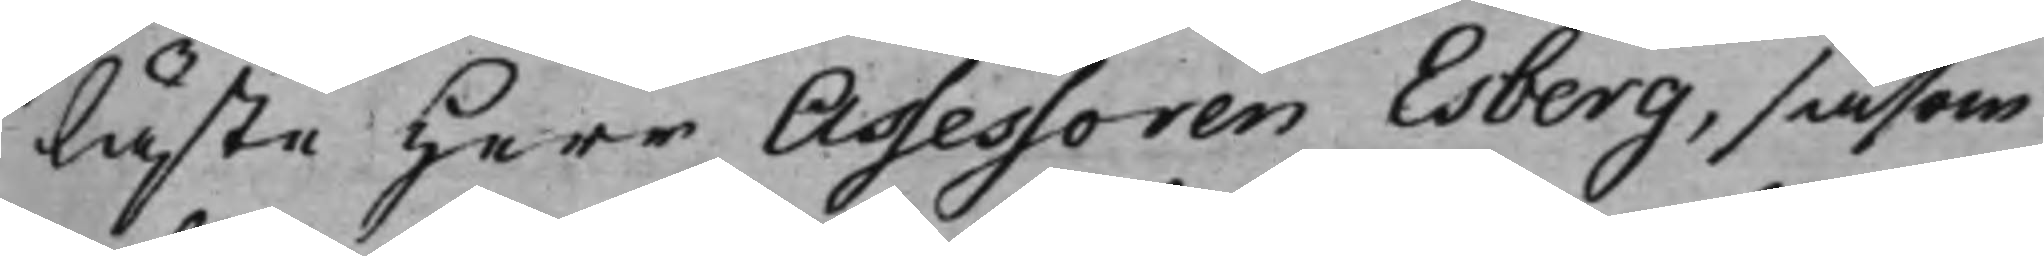läste Herr Assessoren Esberg, såsom
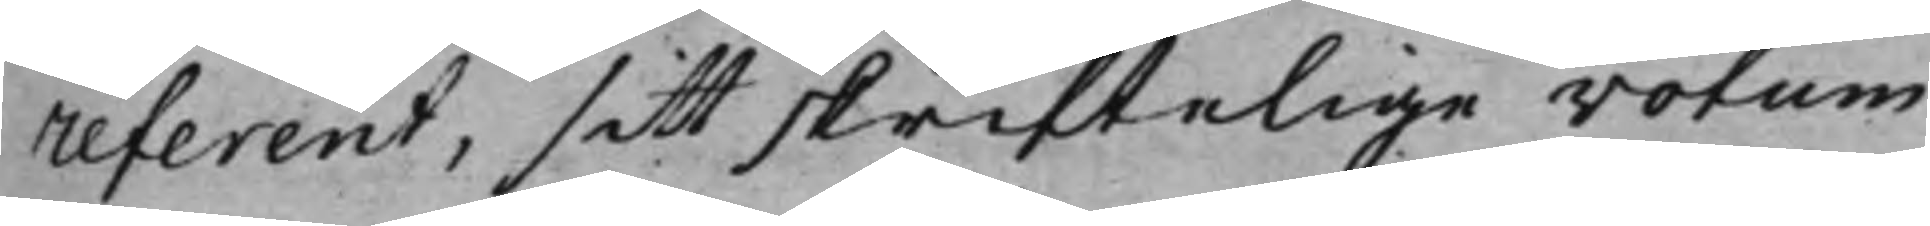referent, sitt skriftelige votum
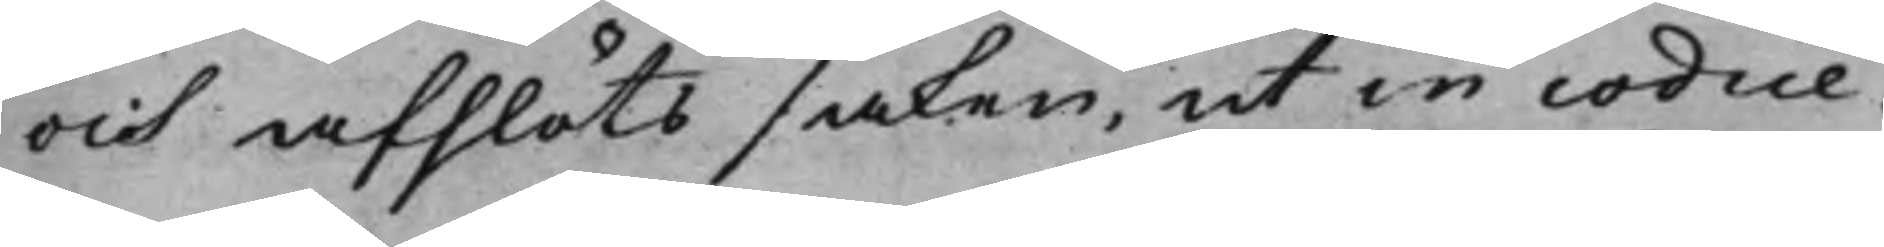och afslöts saken, ut in codice.
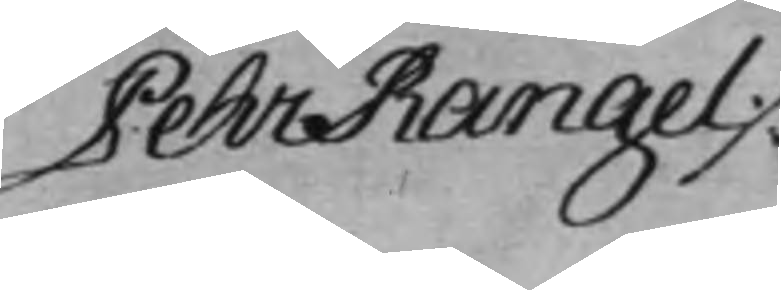Pehr Rangel ./.
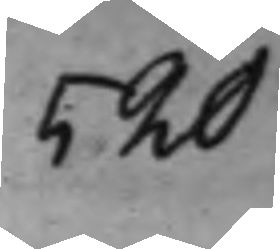520
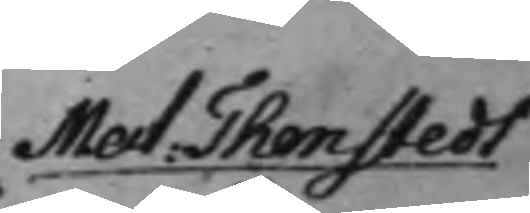Mat: Thenstedt
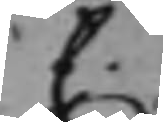C.
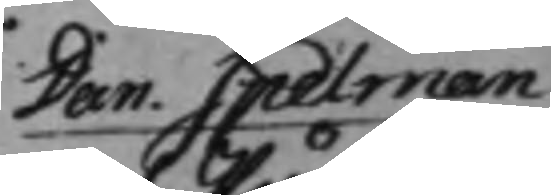Dan: Spelman
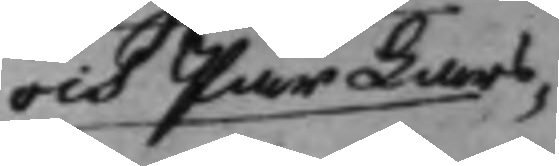och Pär Lars¬
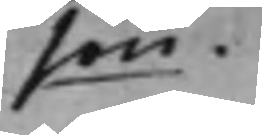son.
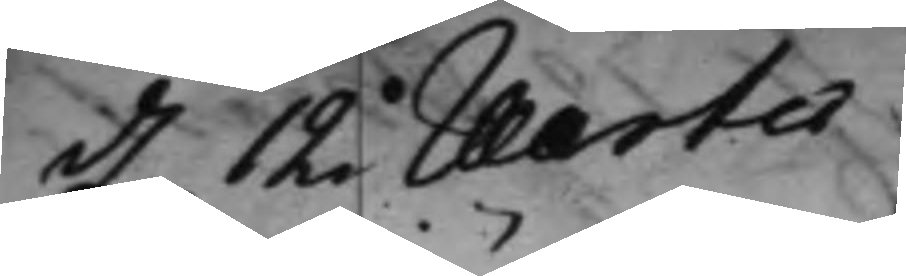d. 12 Martii
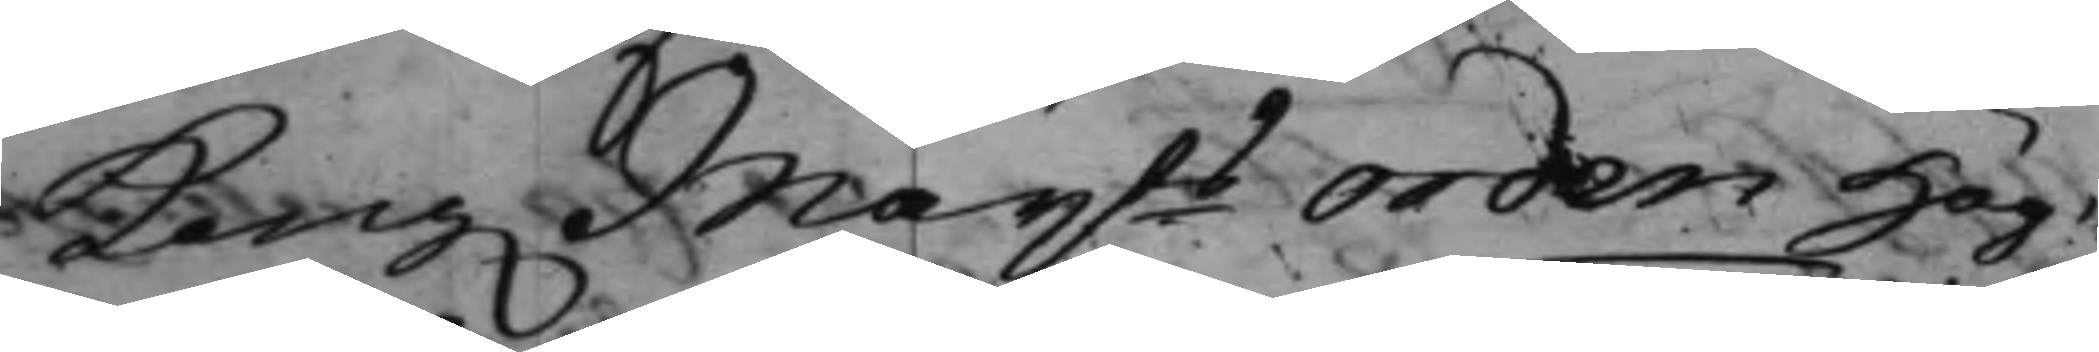Kong. Maijts Orden Hög¬
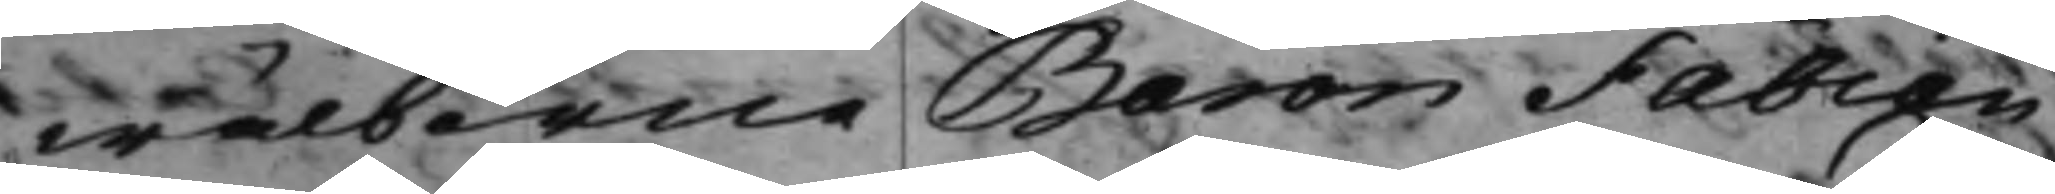wälborne Baron Fabian
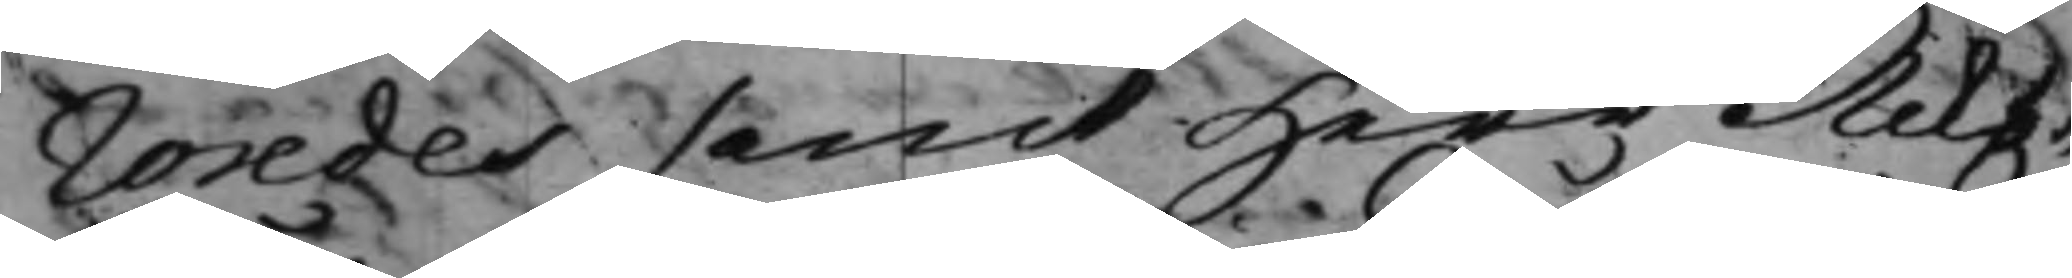Wredes samt Herr Riks¬
